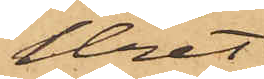Uret
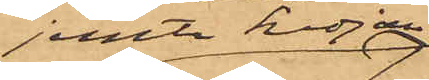jemte kedja,
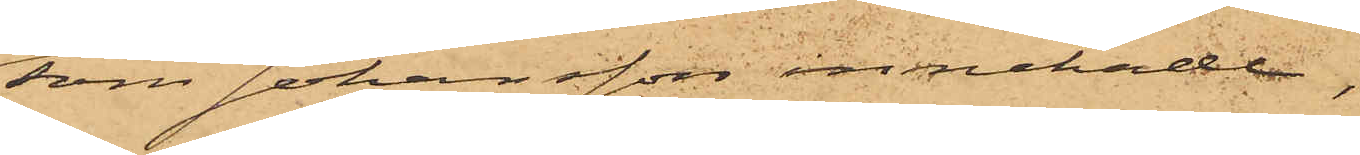som Johansson innehade,
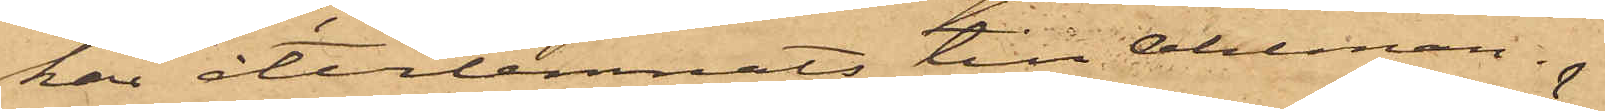har återlemnats till Ahlman.
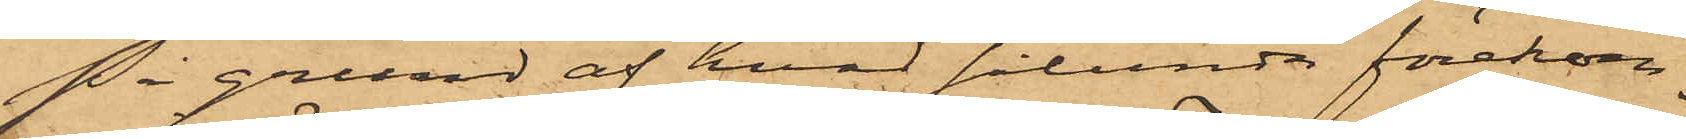På grund af hvad sålunda förekom¬
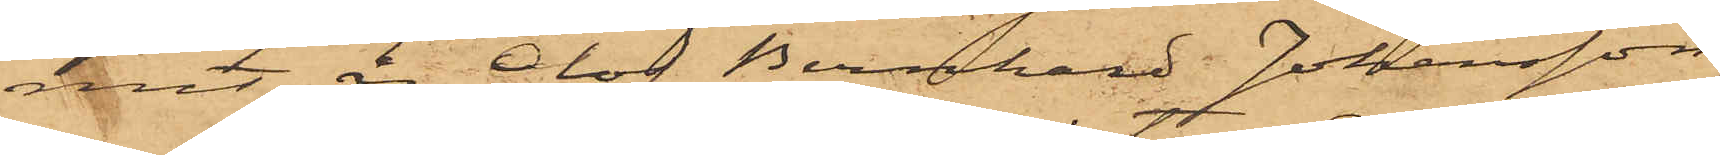mit är Olof Bernhard Johansson,
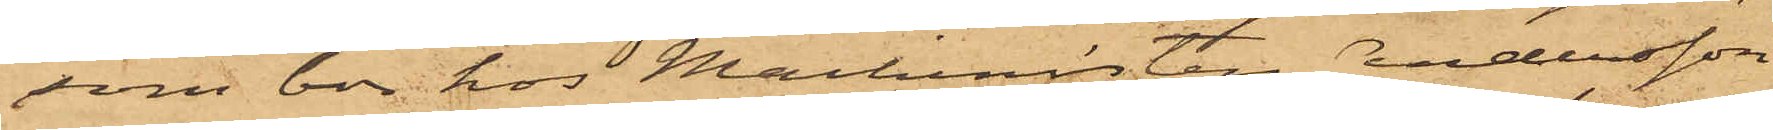som bor hos Maskinisten Andersson
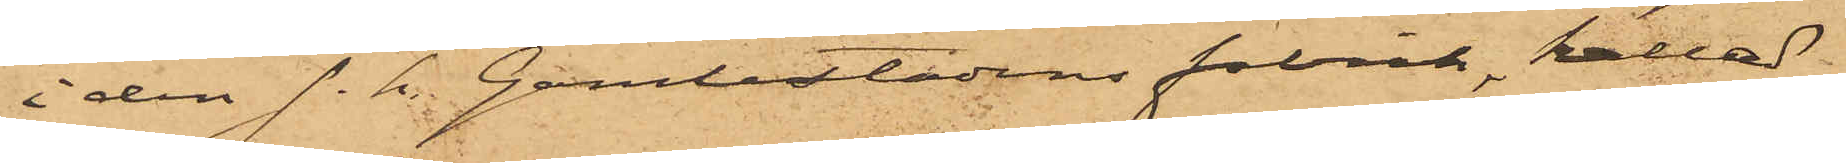i den s.k. Gamlestadens fabrik, kallad.
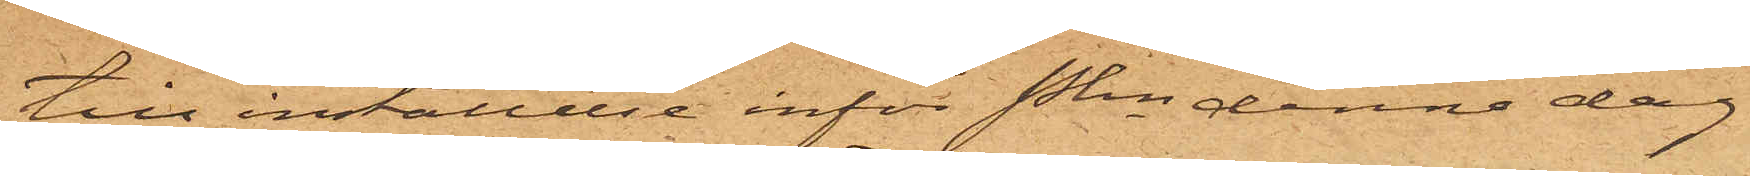till inställelse inför Pkn denna dag
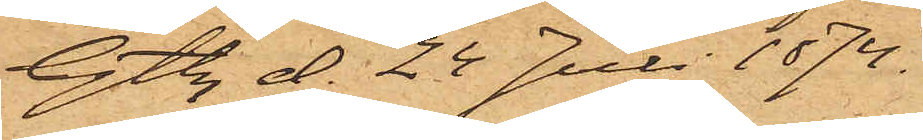Gtbg d. 24 Juli 1874.
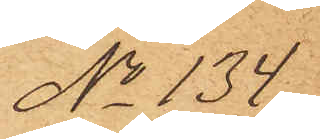No 134.
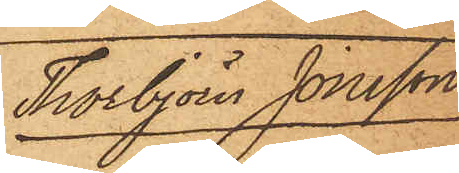Thorbjörn Jonson
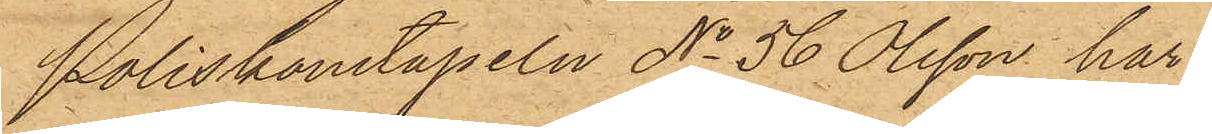Poliskonstapeln No 56 Olsson har
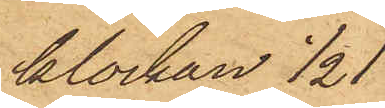klockan ½1
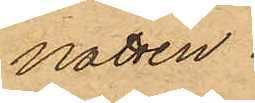natten
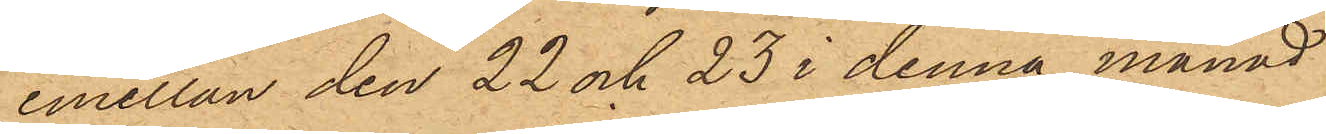emellan den 22 och 23 i denna månad
